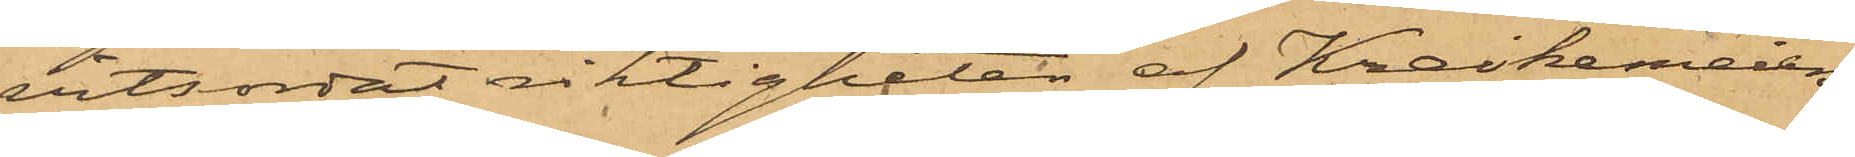vitsordat riktigheten af Kreikemeiers
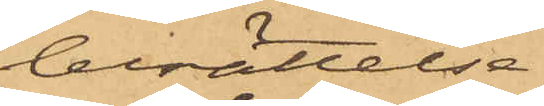berättelse.
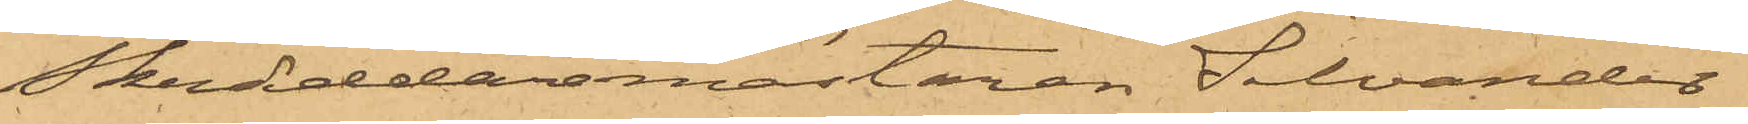Skräddarmästaren Silvander
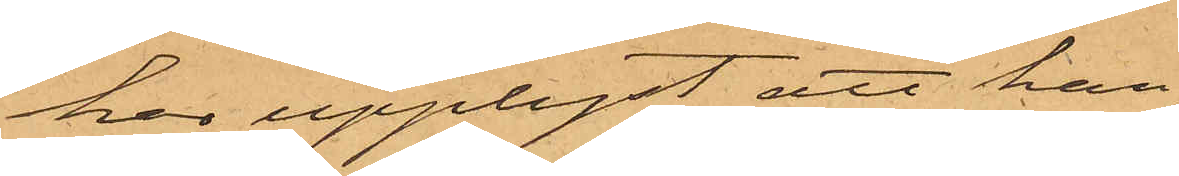har upplyst, att han
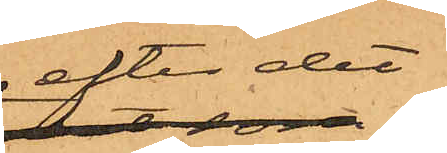efter det
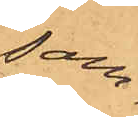sam¬
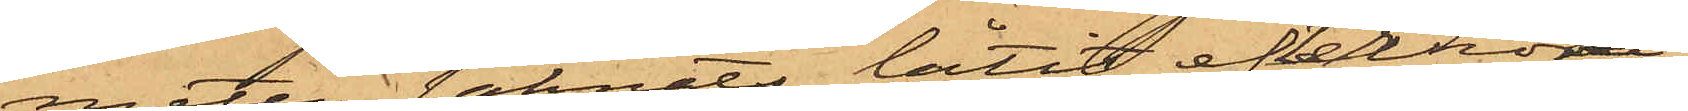meten saknats låtit efterhöra
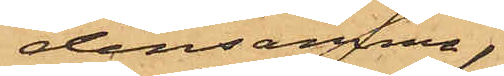densamma,
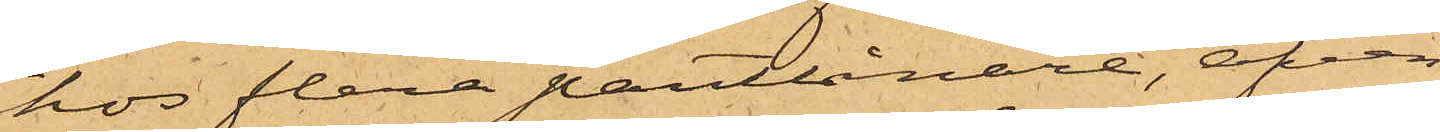hos flera pantlånare, äfven
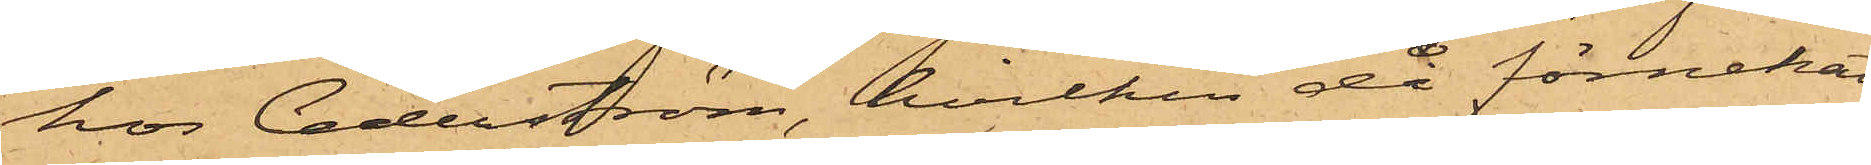hos Cederström, hvilken då förnekat
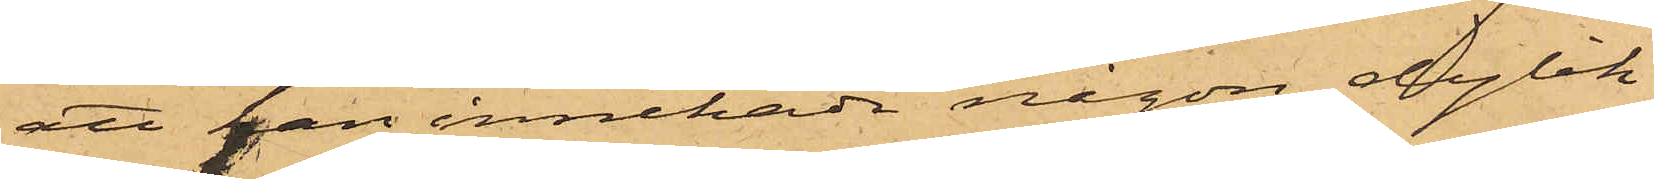att han innehade någon dylik.
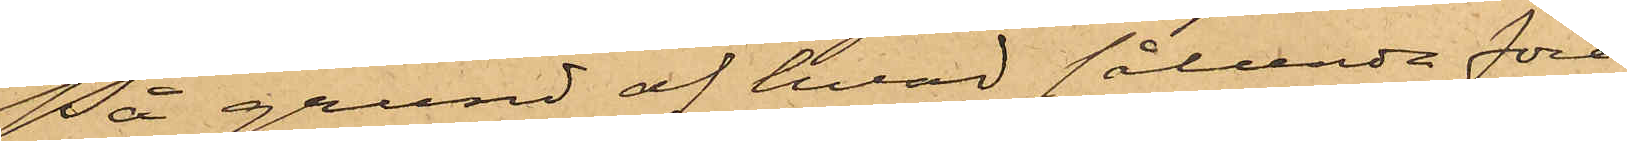På grund af hvad sålunda före¬
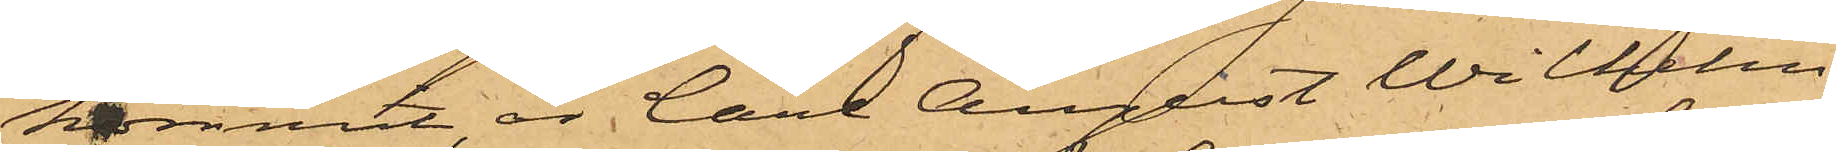kommit, är Carl August Wilhelm
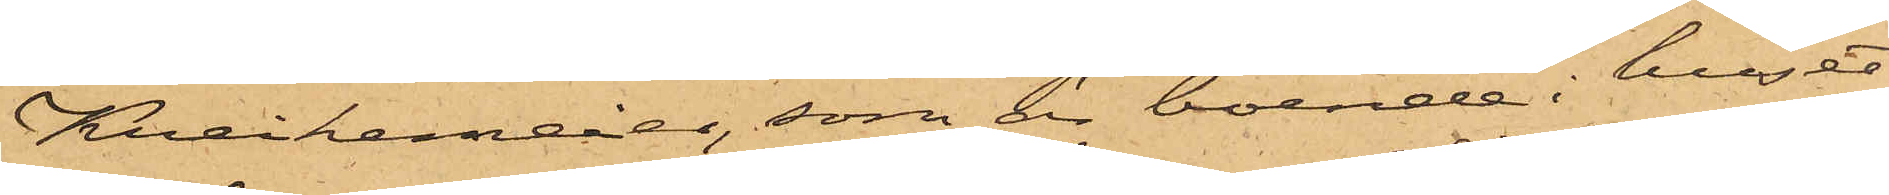Kreikemeier, som är boende i huset
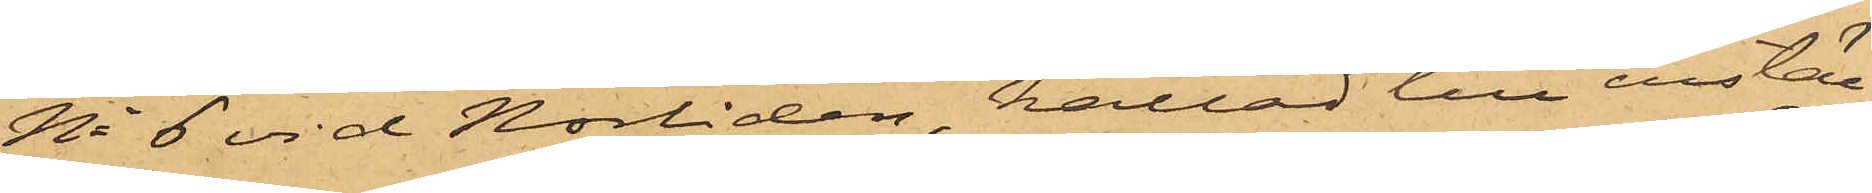No 6 vid Norliden, kallad till instäl¬
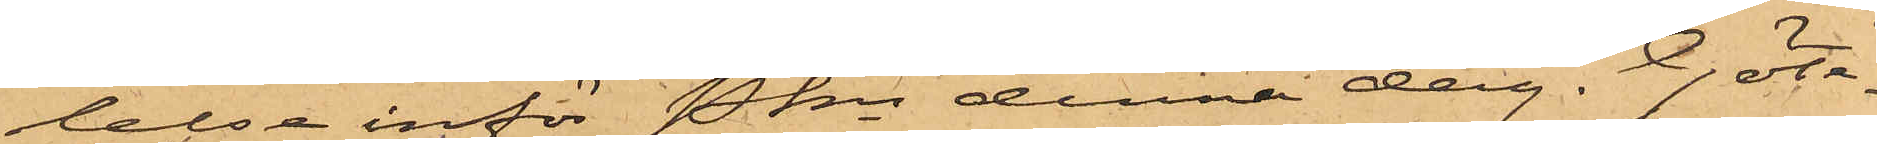lelse inför Pkn denna dag. Göte¬
